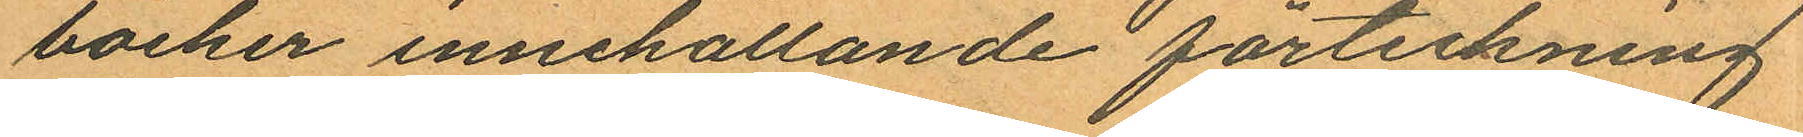böcker innehållande forteckning
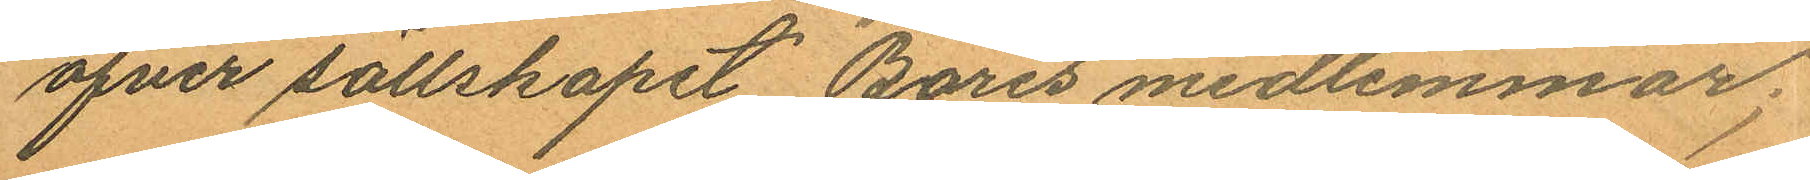öfver sällskapet "Bores" medlemmar;
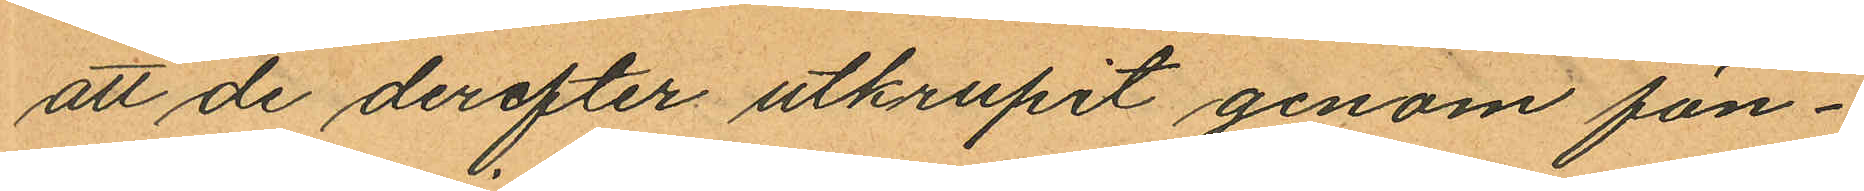att de derefter utkrupit genom fön¬
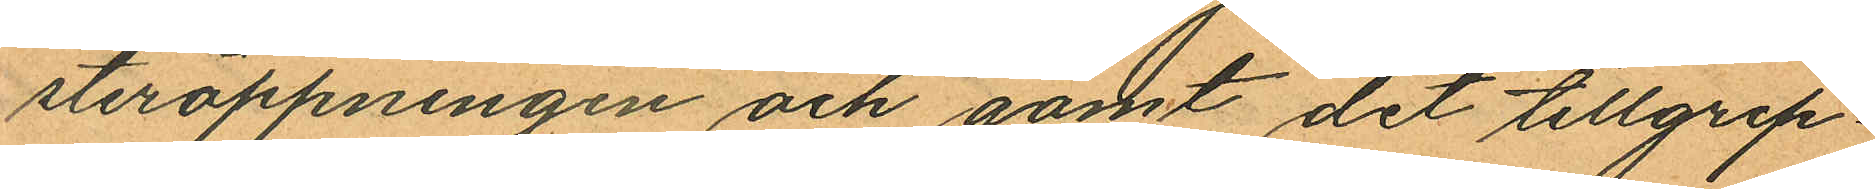steröppningen och gömt det tillgrip¬
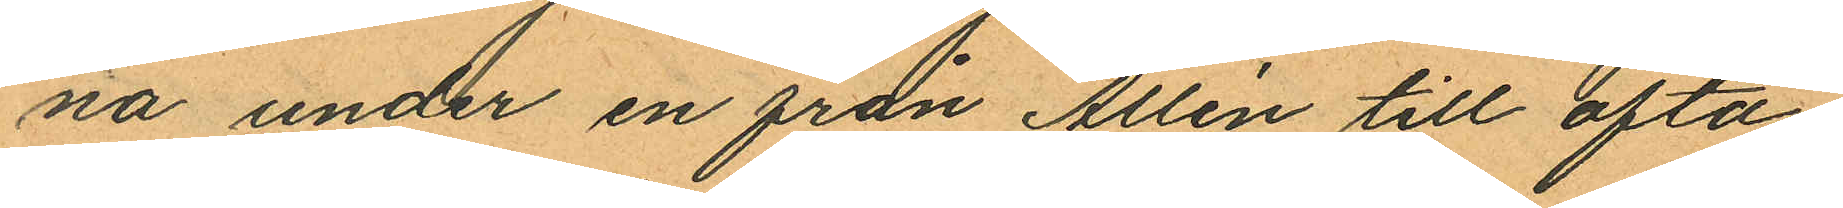na under en från Allén till ofta¬
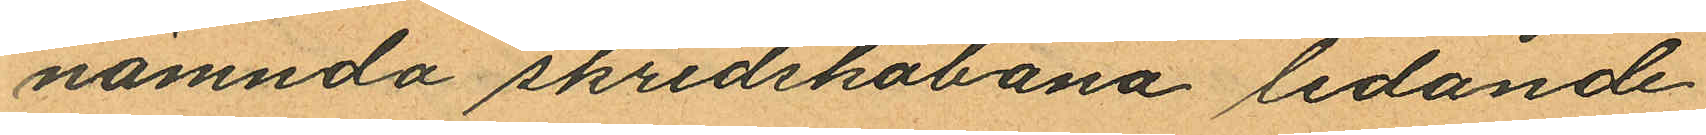nämnda skridskobana ledande
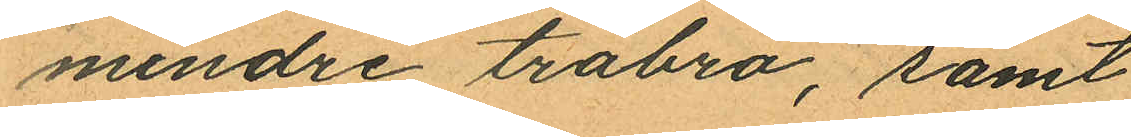mindre träbro, samt
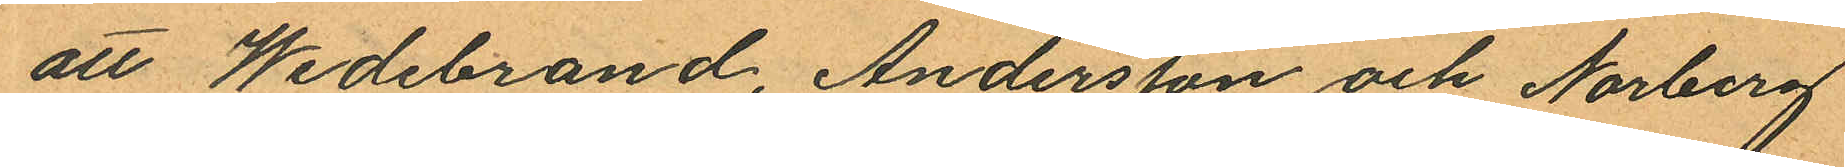att Wedebrand, Andersson och Norberg
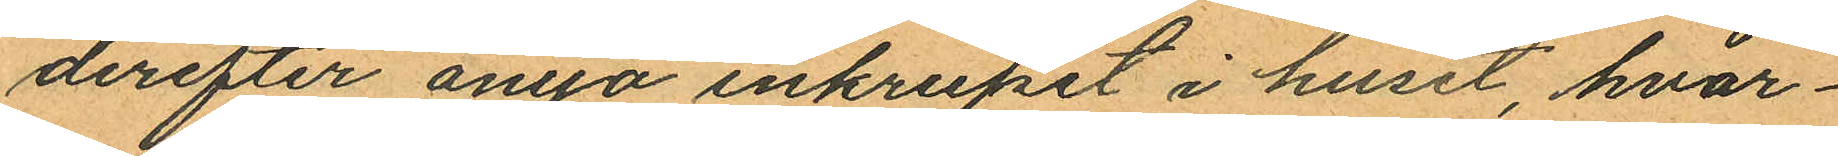derefter ånno inkrupit i huset, hvar¬
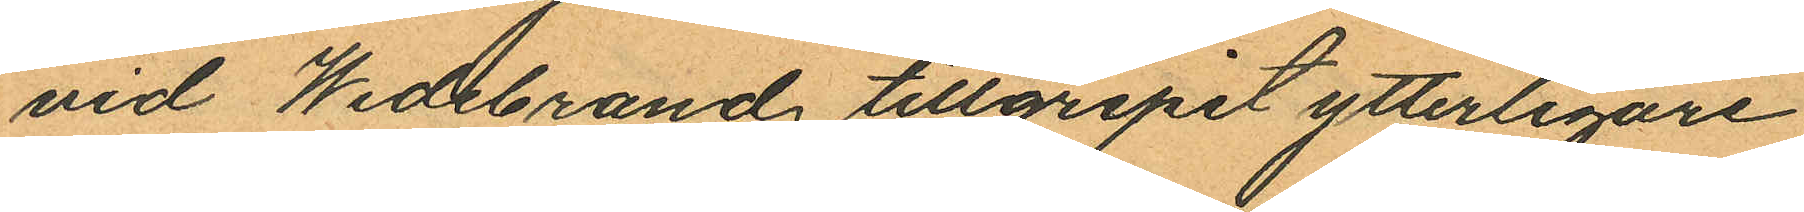vid Wedebrand tillgripit ytterligare
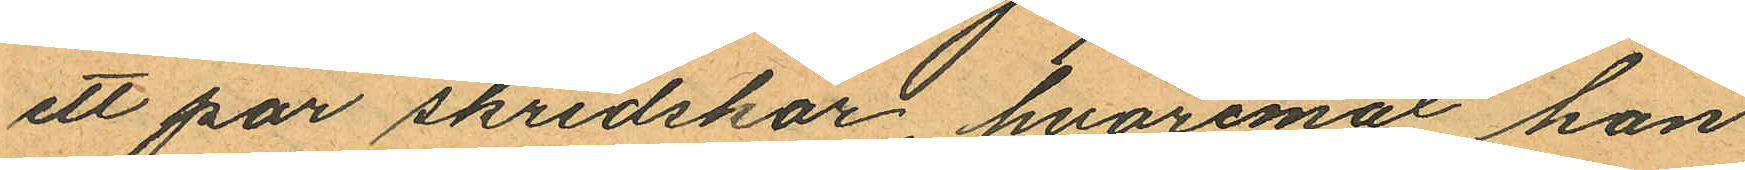ett par skridskor, hvaremot han
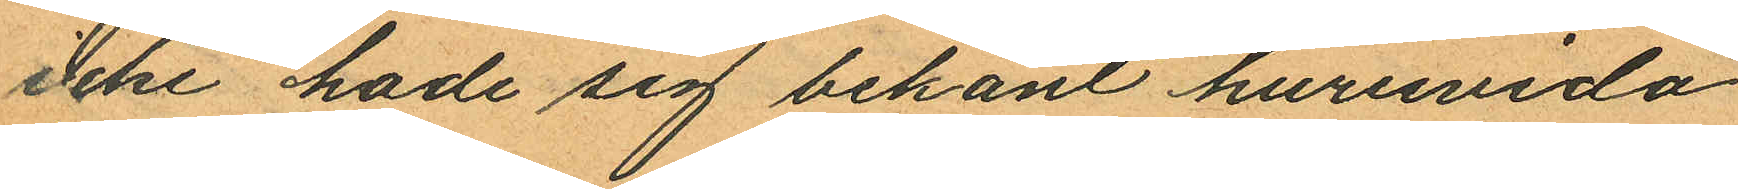icke hade sig bekant huruvida
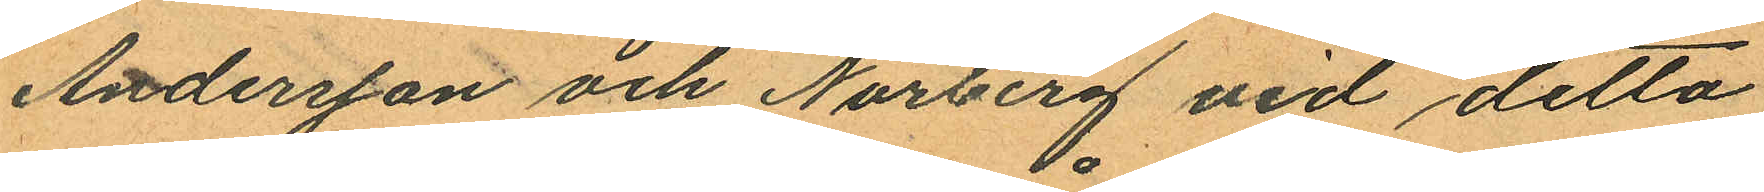Andersson och Norberg vid detta
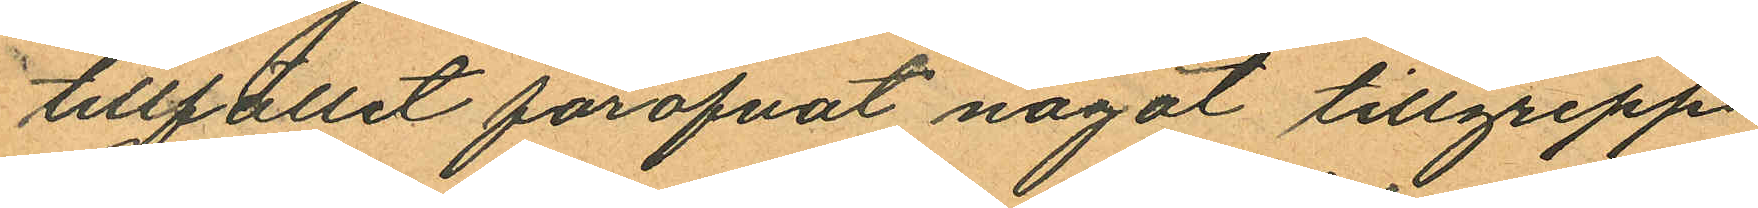tillfället föröfvat något tillgrepp.
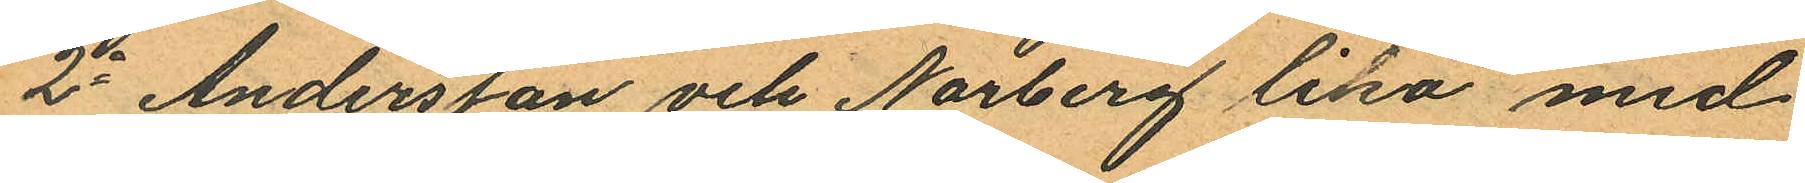2o Andersson och Norberg lika med
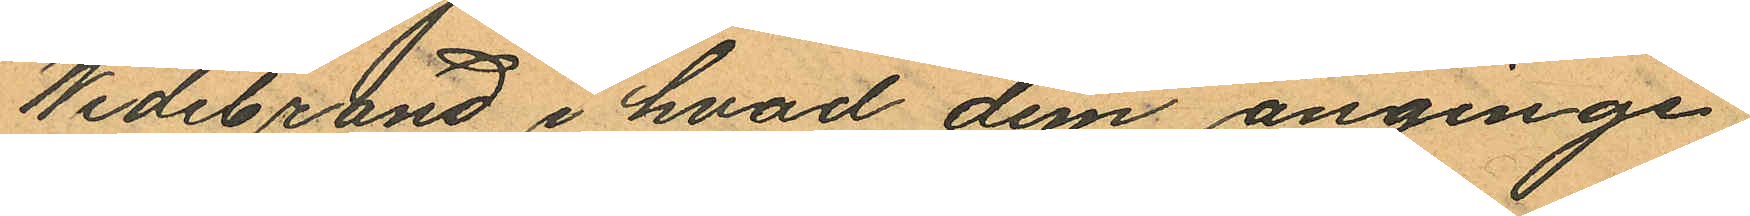Wedebrand i hvad dem anginge;
